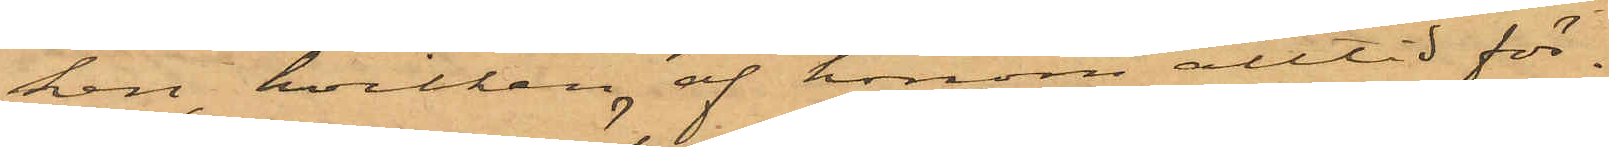ken, hvilken af honom alltid för¬
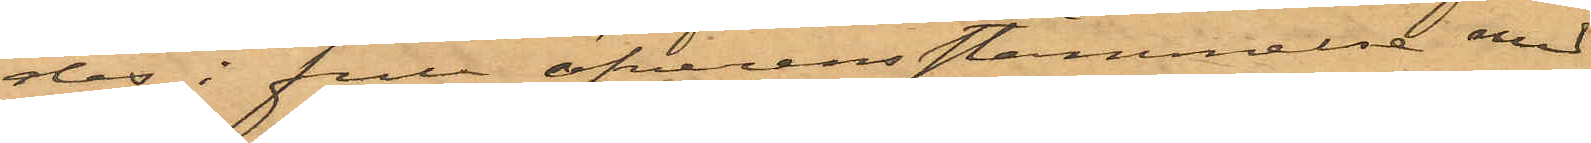des i full öfverensstämmelse med
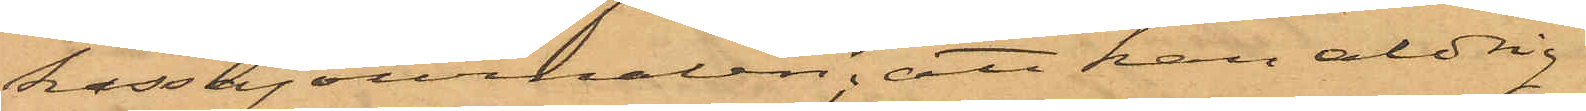kassajournalen; att han aldrig
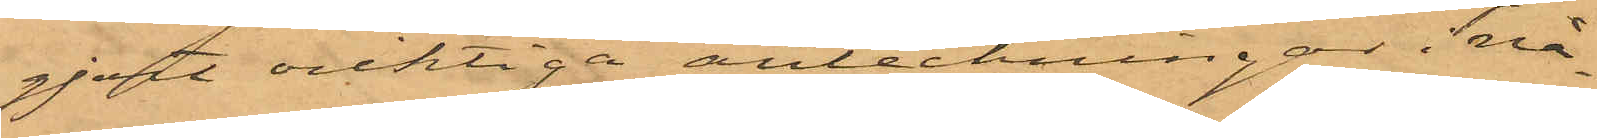gjort oriktiga anteckningar i nå¬
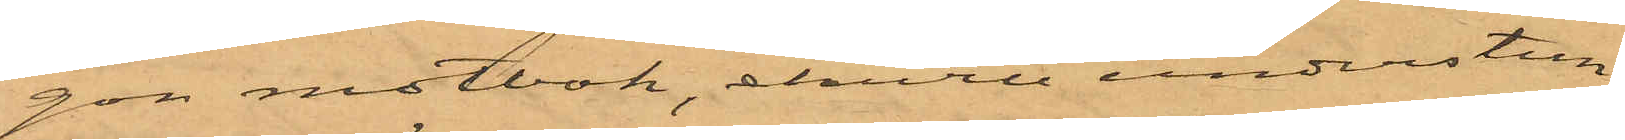gon motbok, ehuru understun¬
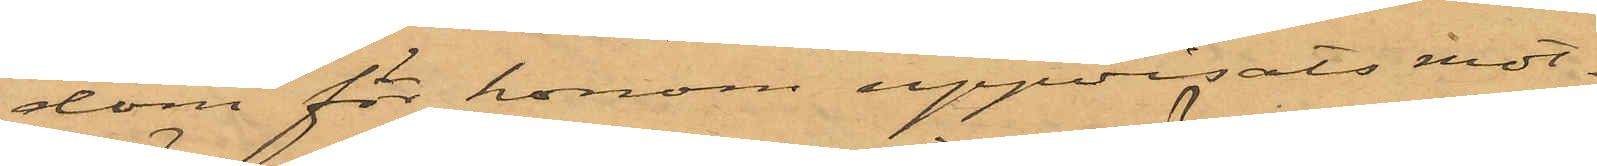dom för honom uppvisats mot¬
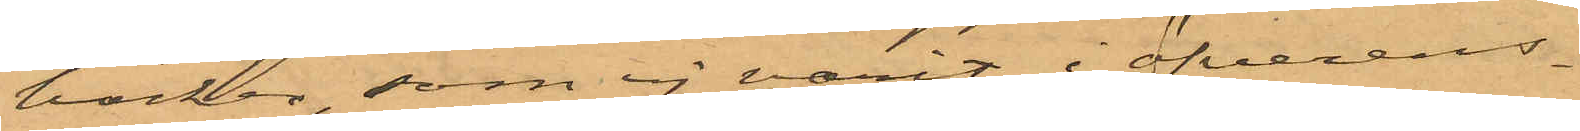böcker, som ej varit i öfverens¬
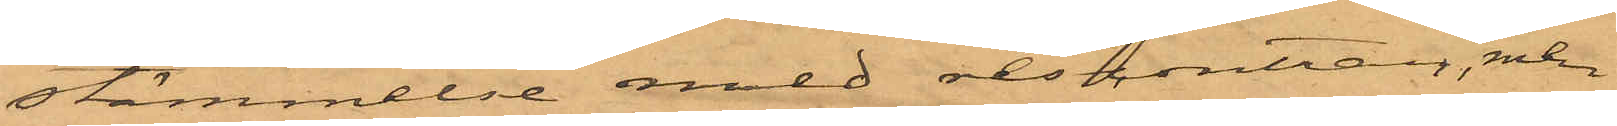stämmelse med rescontran, men
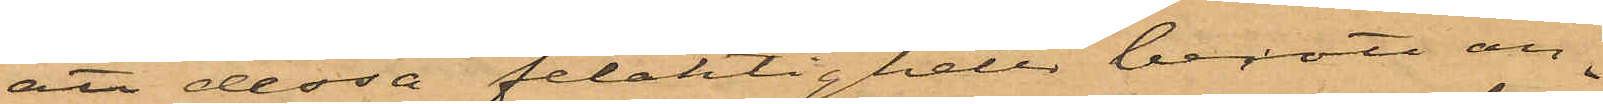att dessa felaktigheter berott an¬
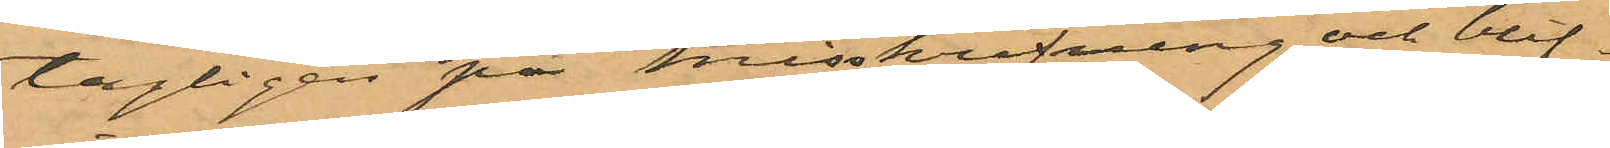tagligen på misskrifning och blif¬
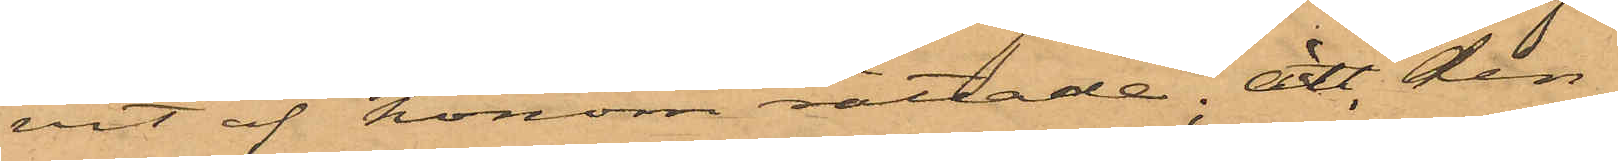vit af honom rättade; att den
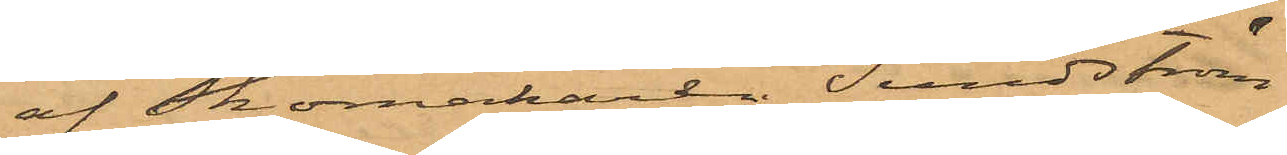af Skomakaren Sandström
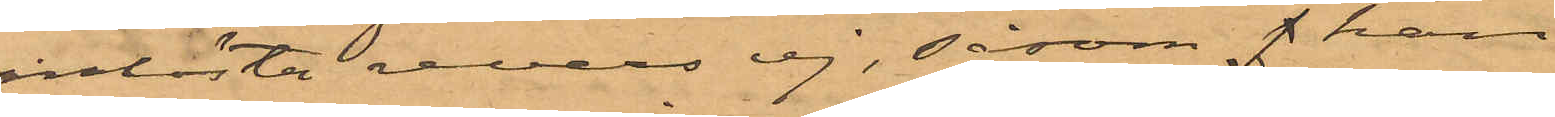inlösta revers ej, såsom J han
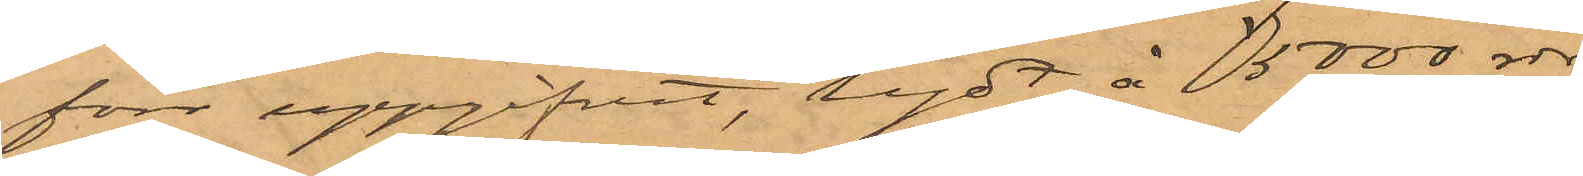förr uppgifvit, lydt å 5000 rdr
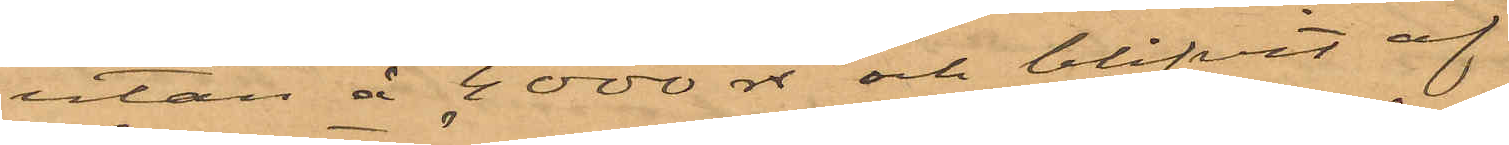utan å 4000 rdr och blifvit af
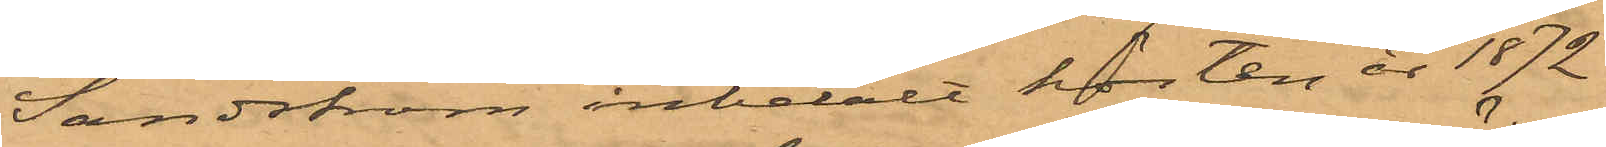Sandström inbetalt hösten år 1872
